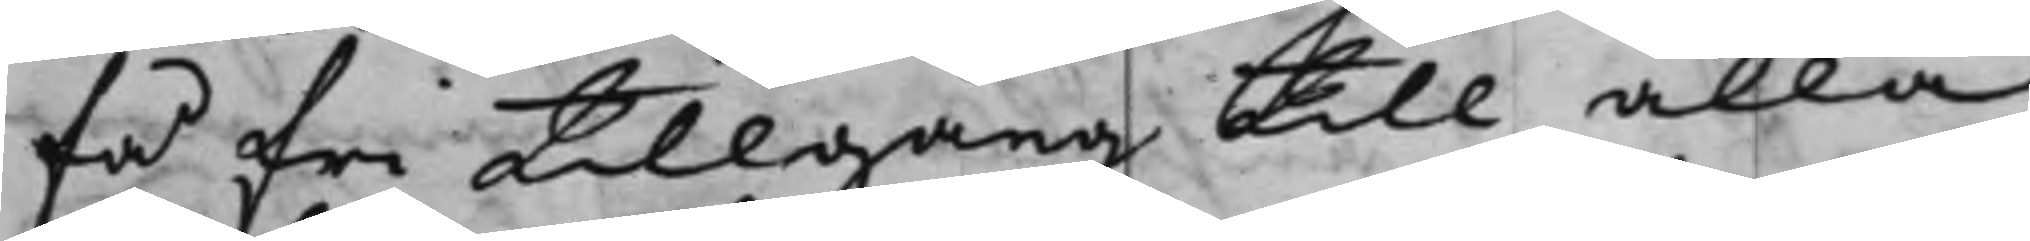få fri tillgång till alla
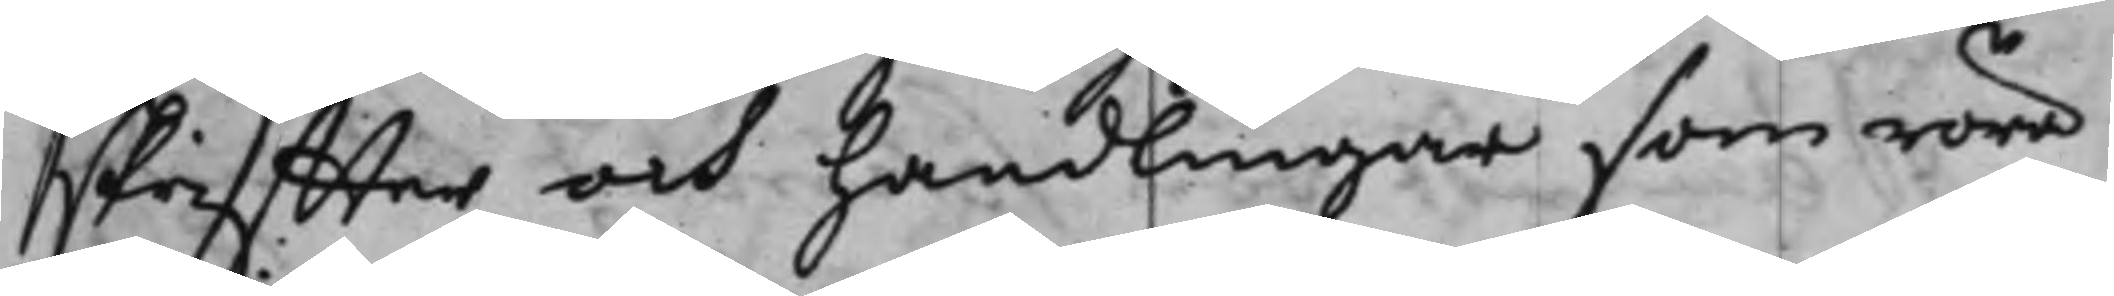skriffter och handlingar som röra
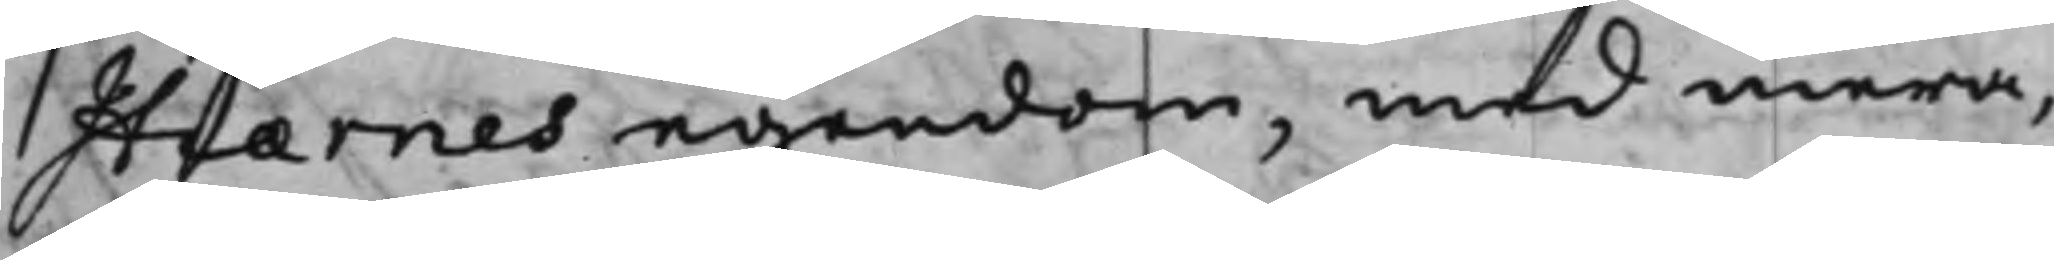Hiærnes egendom, med mera,
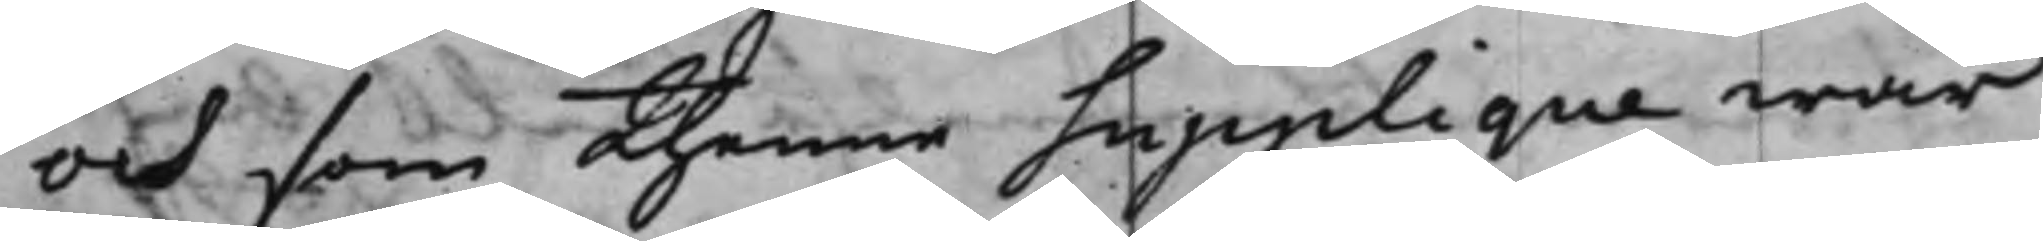och som thenne Supplique war
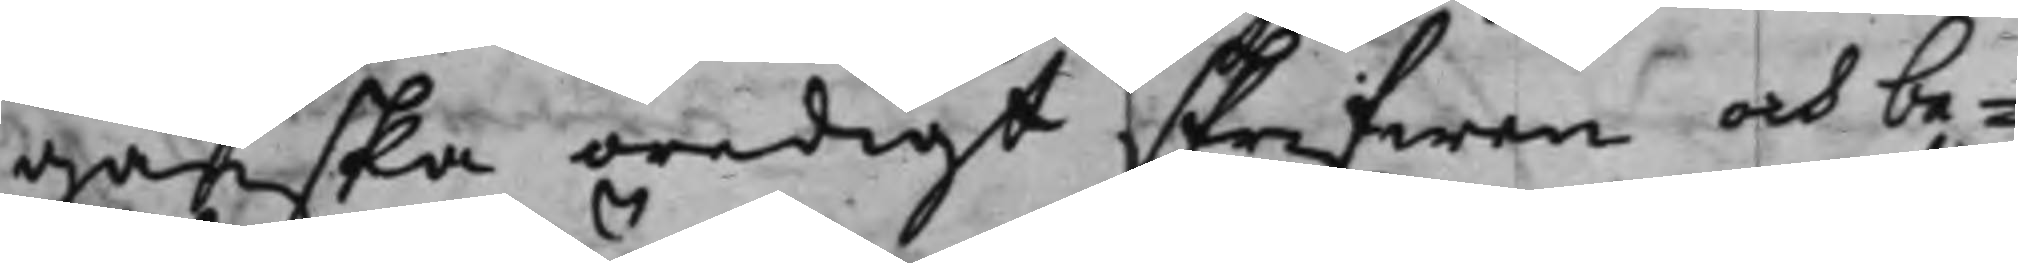ganska oredigt skrifwen och be¬
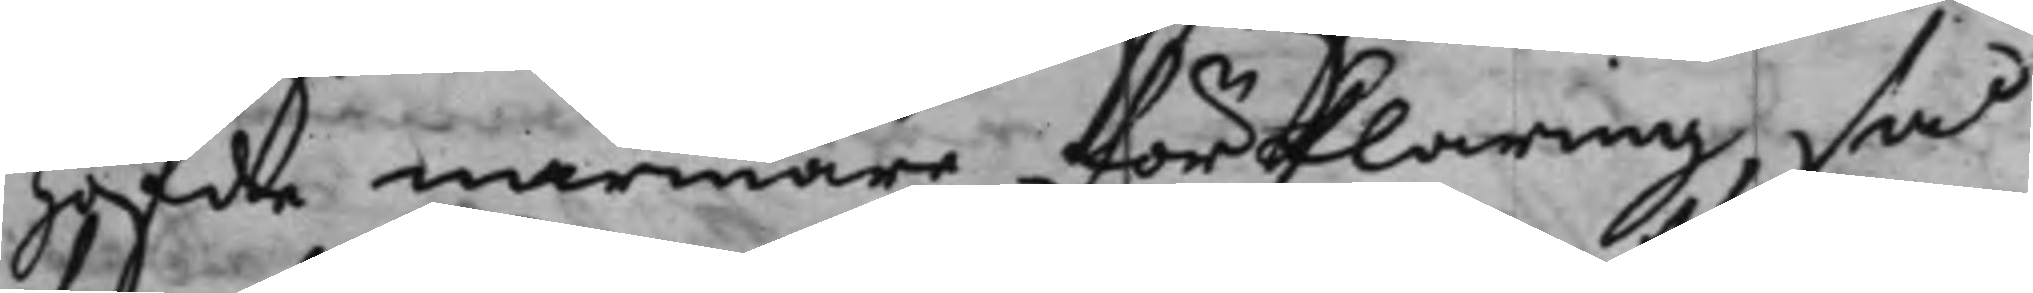höfde närmare förklaring, så
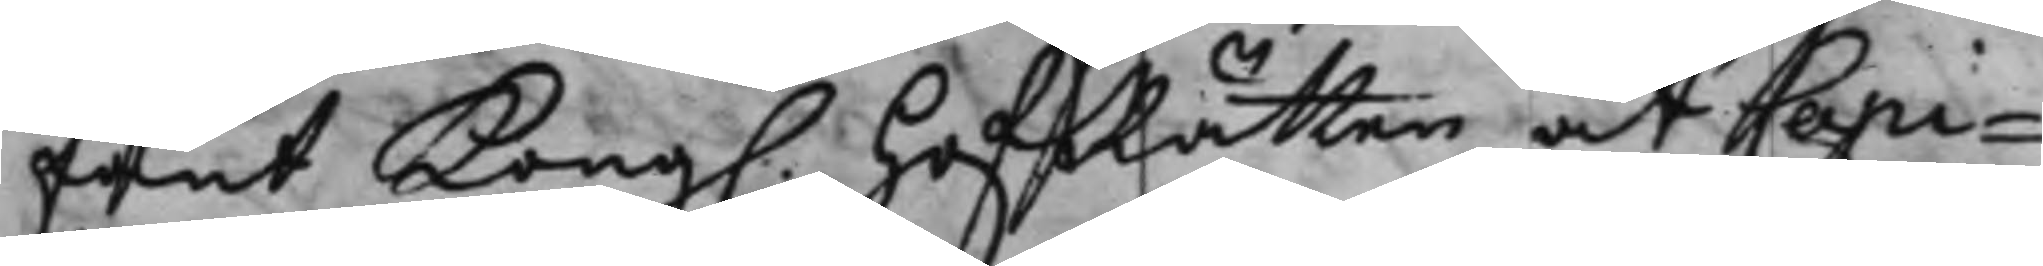fant Kong. HofRätten, at Capi¬
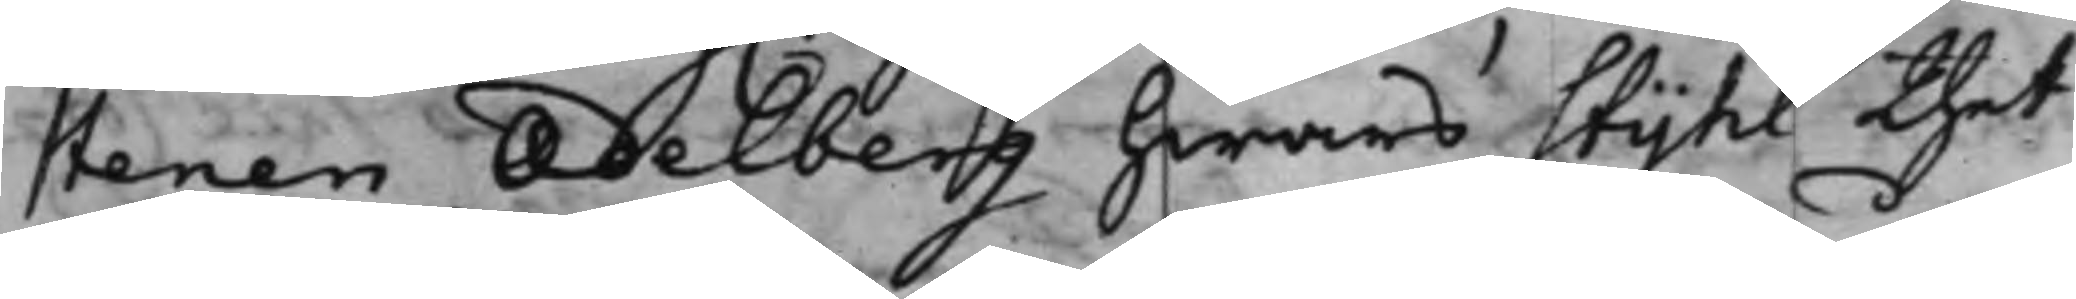tenen Adelberg hwars Stijhl thet¬
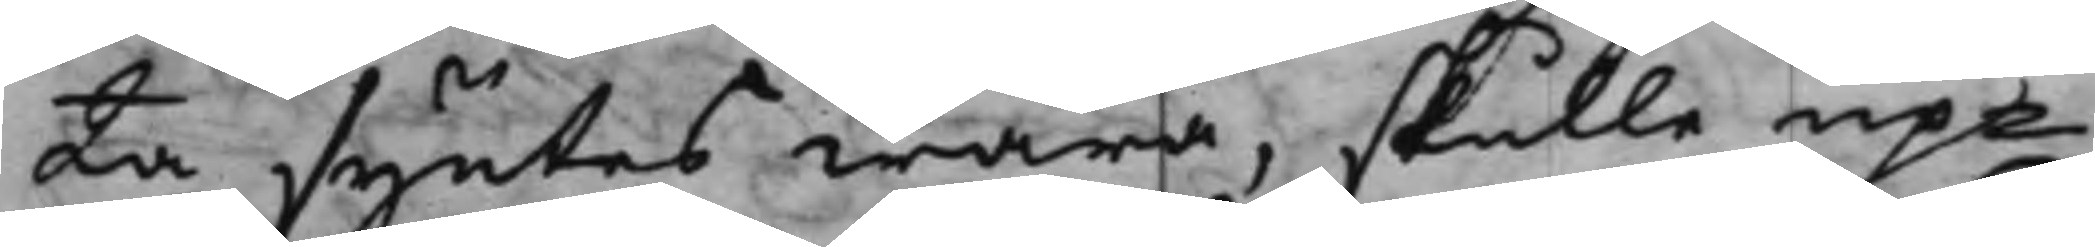ta syntes wara, skulle up¬
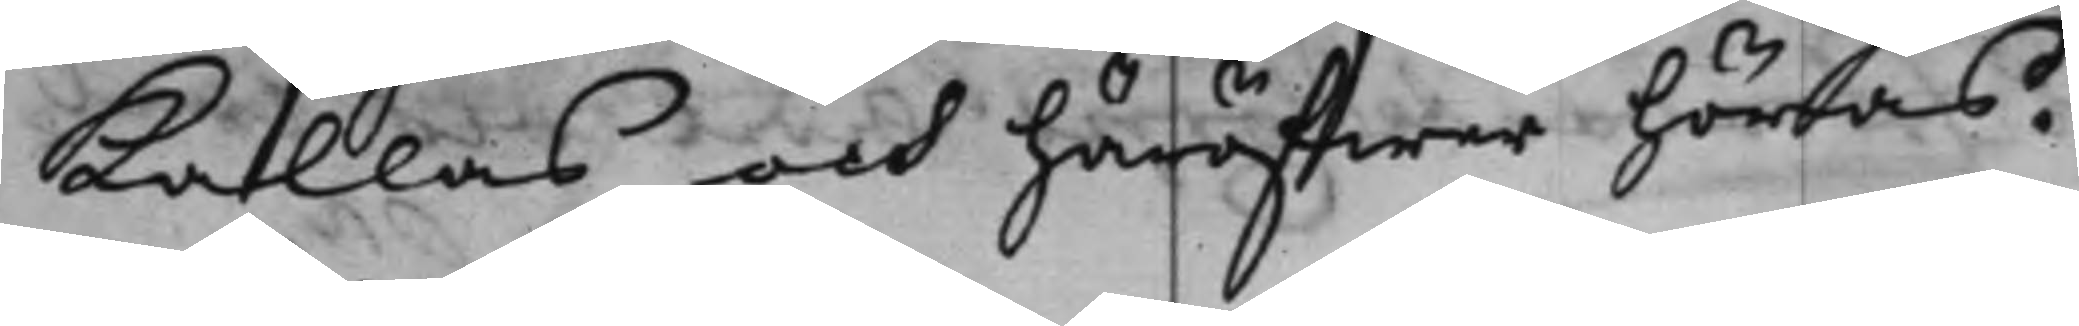Kallas och häröfwer höras.
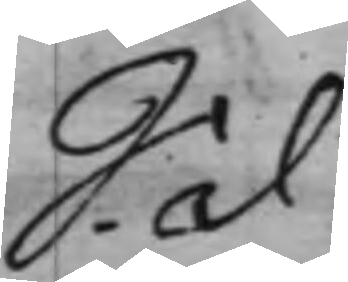S. d
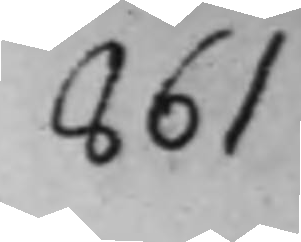861
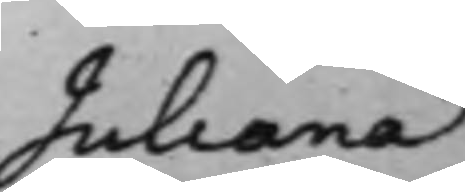Juliana
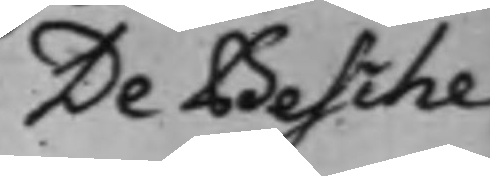De Besche
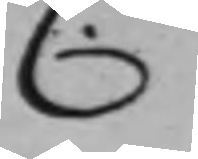C.
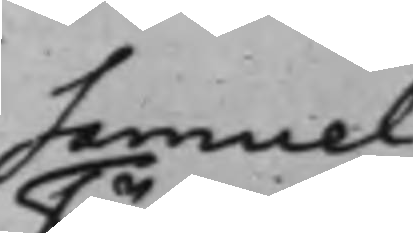Samuel
